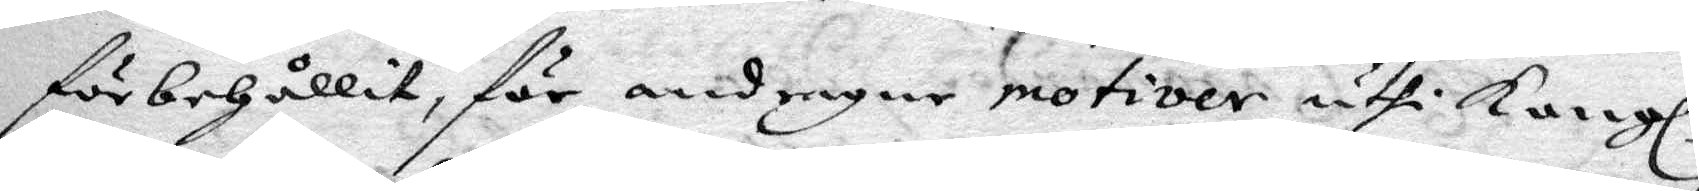förbehållit för andragne motiver uthi Kongl.
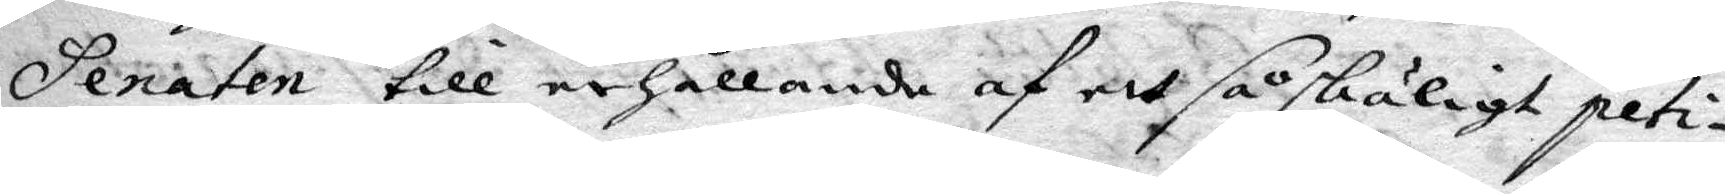Senaten till erhållande af ett så skäligt peti¬
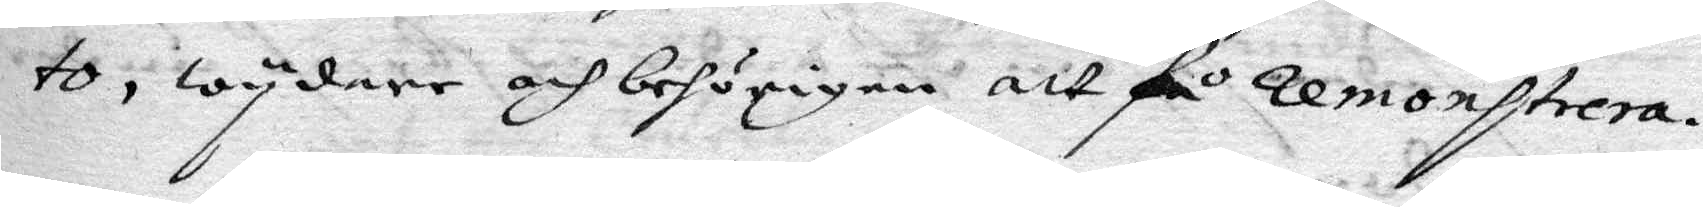to, wydare och behörigen att få remonstrera.
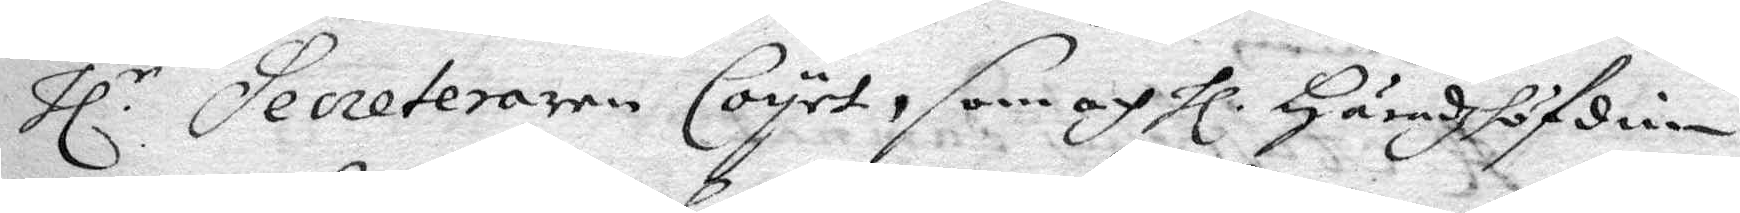Hl.r Secreteraren Coyet, som och Hl. Häradzhöfdin¬
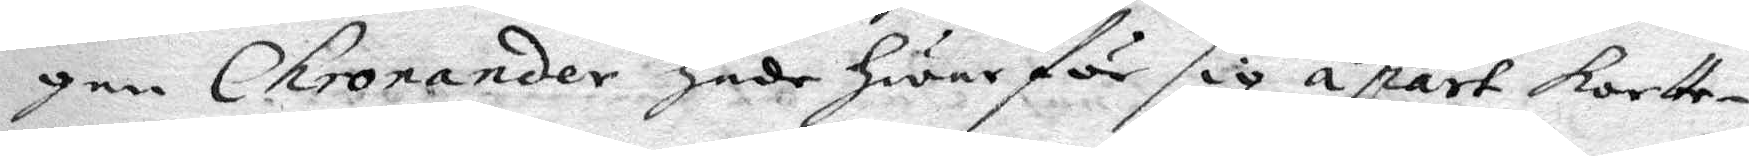gen Chronander hade hwar för sig á part kortte¬
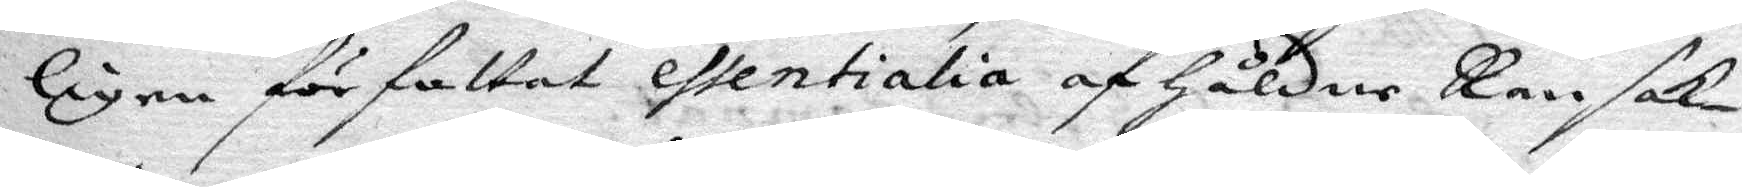ligen författat essentialia af håldne Ransak¬
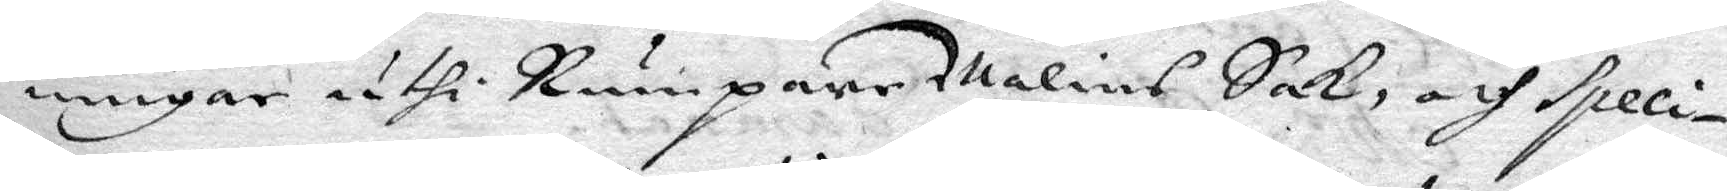ningar uthi Rumpare malins Sak, och speci¬
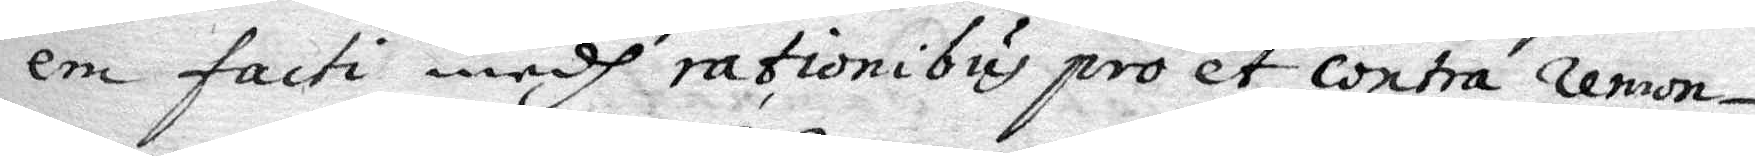em facti medh rationibus pro et contra remon¬
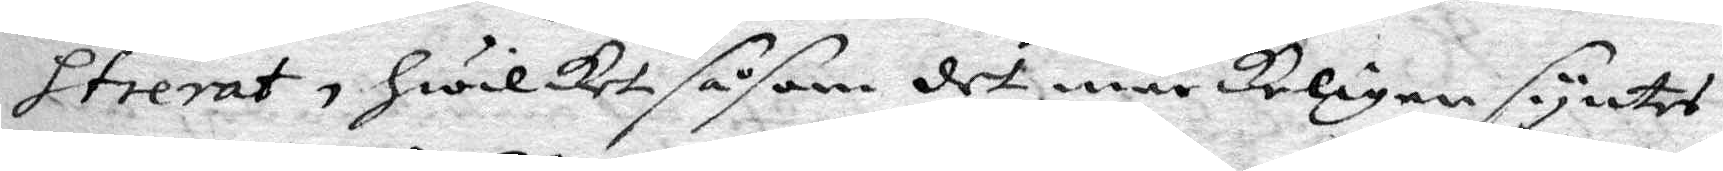strerat, hwilket såsom det märkeligen syntes
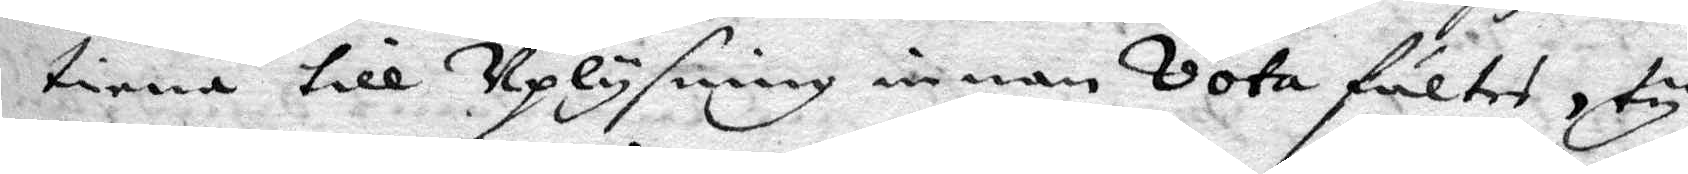tiena till Uplysning innan Vota fältes, ty
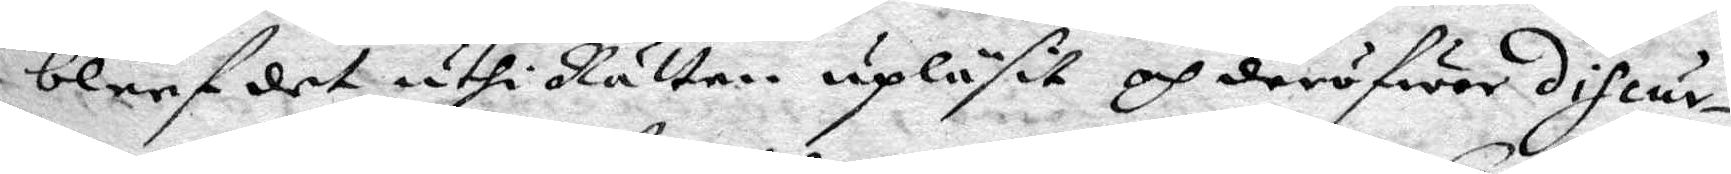bleef det uthi Rätten upläsit och deröfwer discur¬
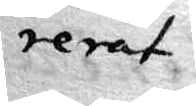rerat
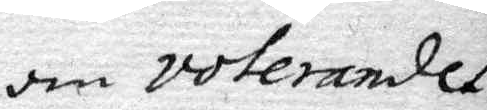om voterandet.
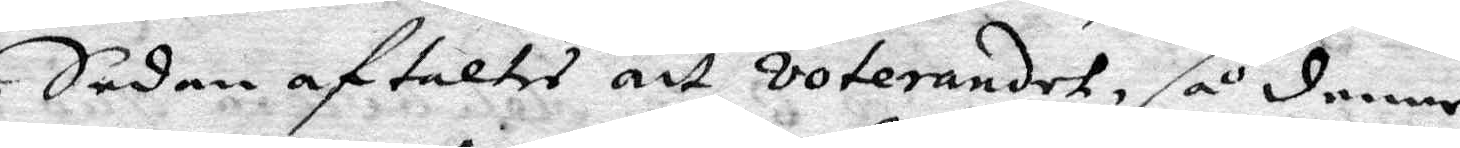Sedan aftaltes att voterandet, så denne
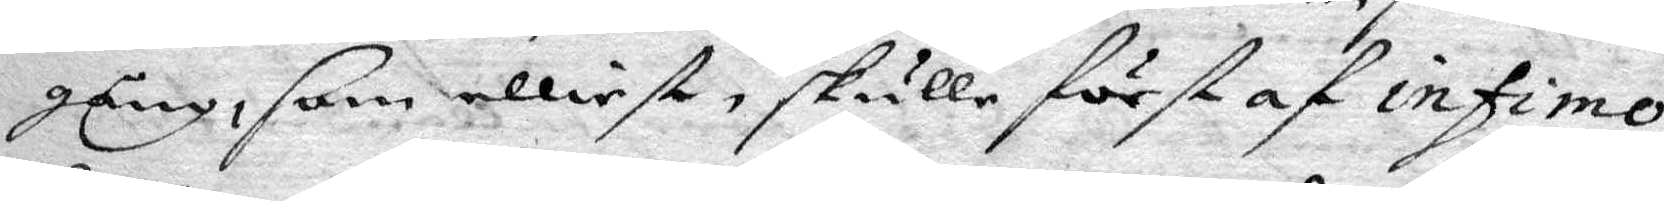gång, som elliest skulle först infimo
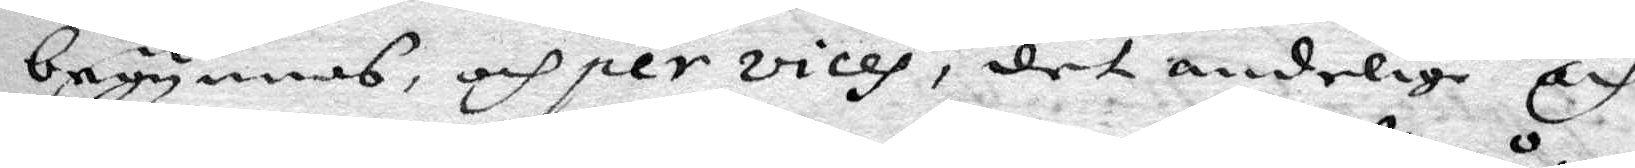begynnas, och per vices, det andelige och
